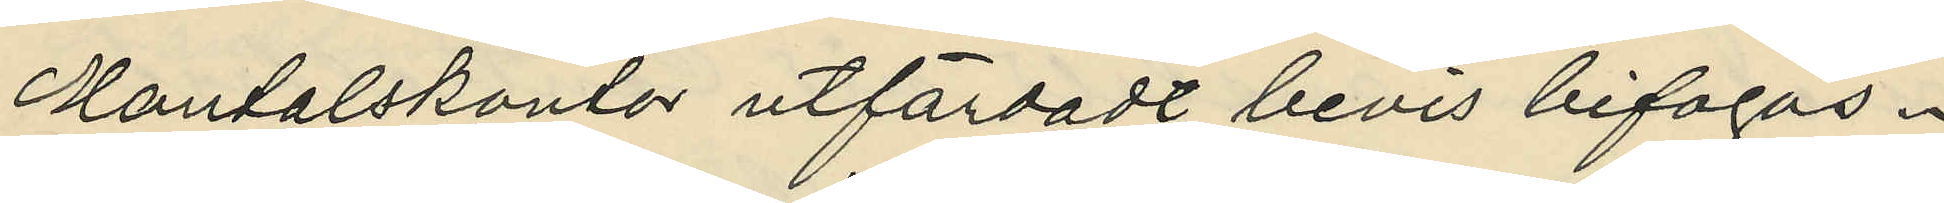Mantalskontor utfärdadt bevis bifogas.
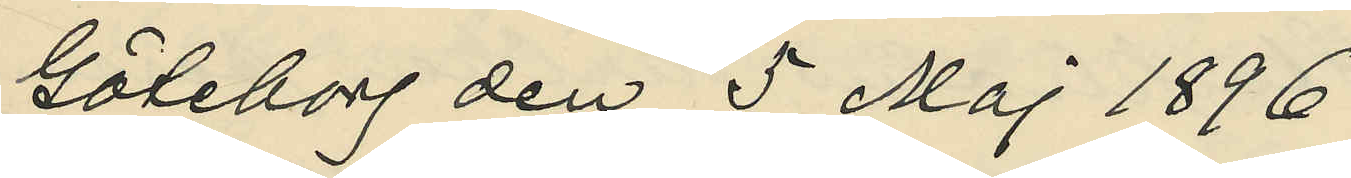Göteborg den 5 Maj 1896. 
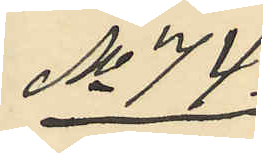No 74.
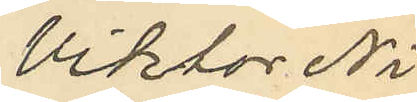Viktor Ni¬
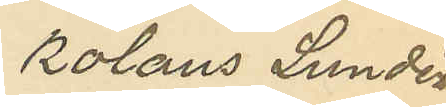kolaus Lundén
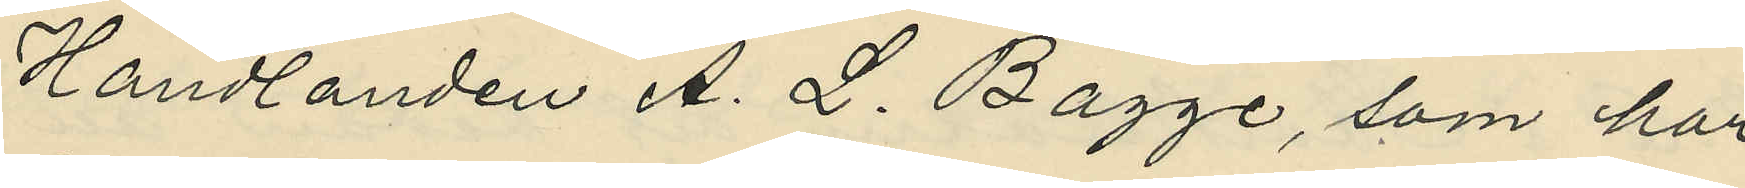handlanden A. L. Bagge, som har
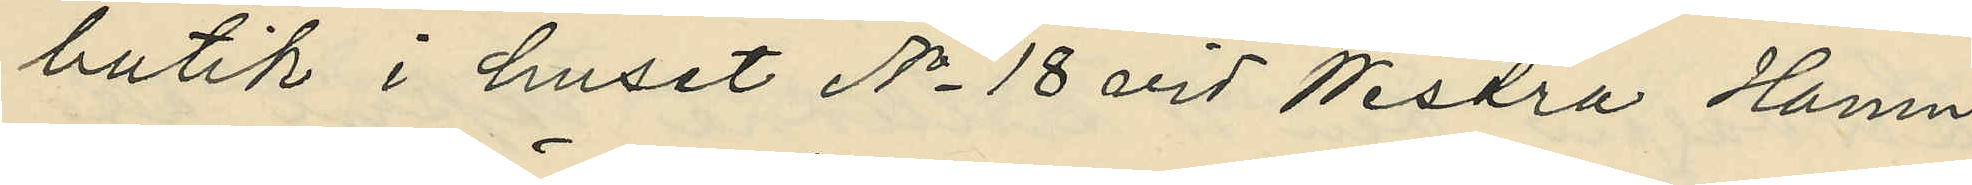butik i huset No 18 vid Westra Hamn¬
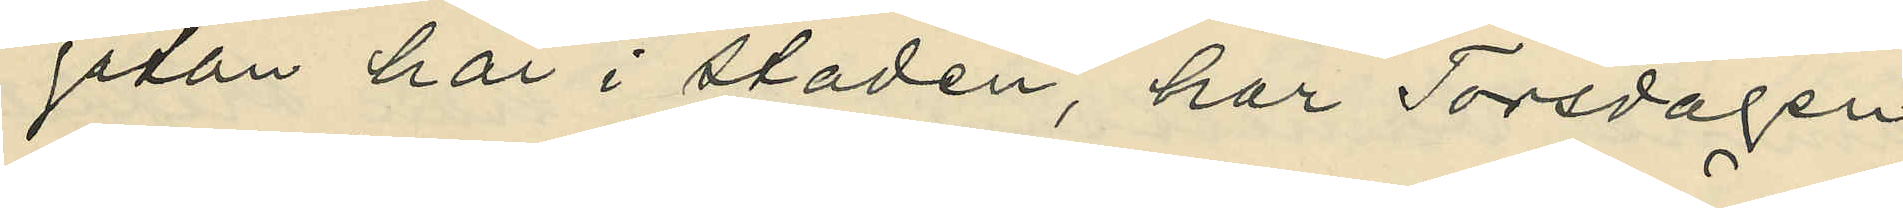gatan här i staden, har Torsdagen 
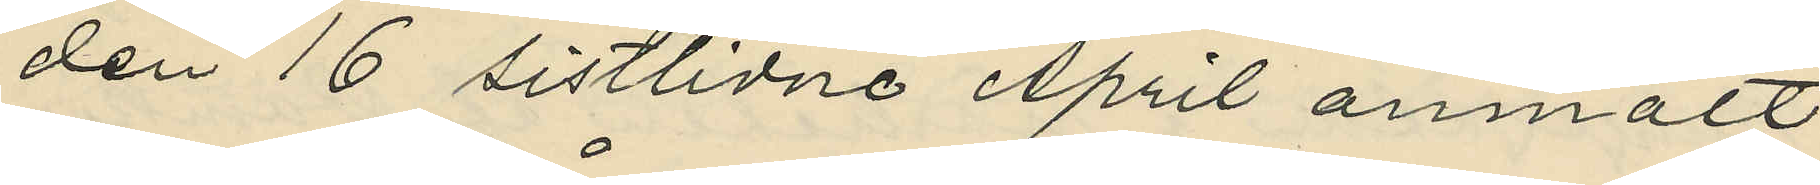den 16 sistlidne April anmält
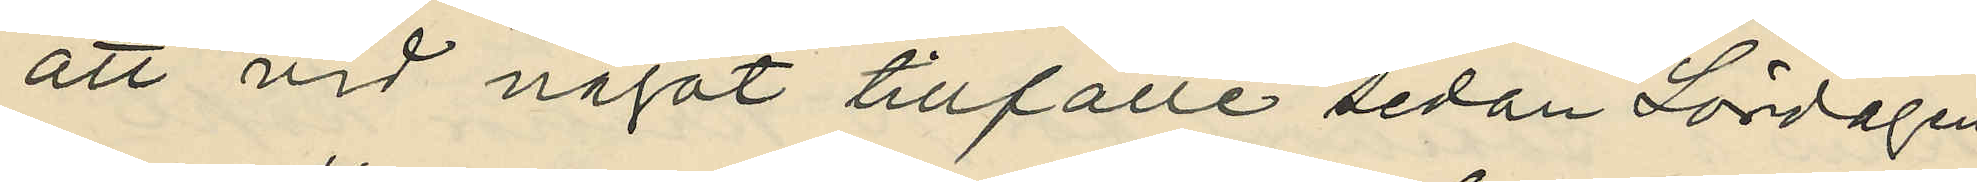att vid något tillfälle sedan Lördagen
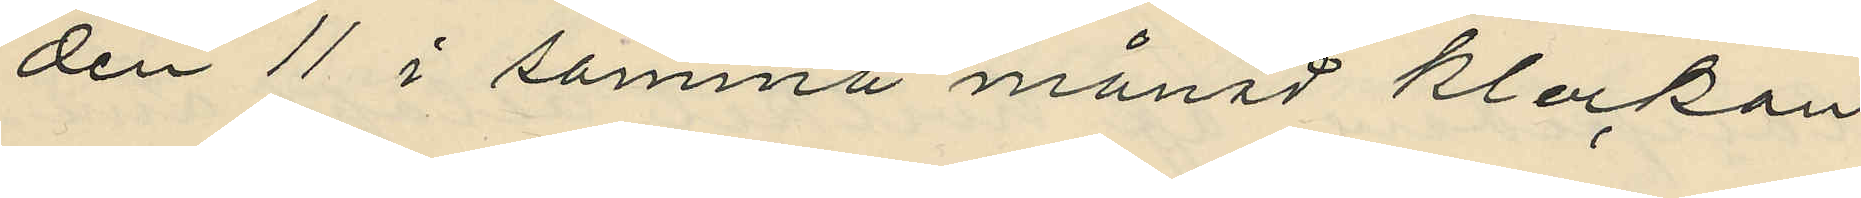den 11 i samma månad klockan
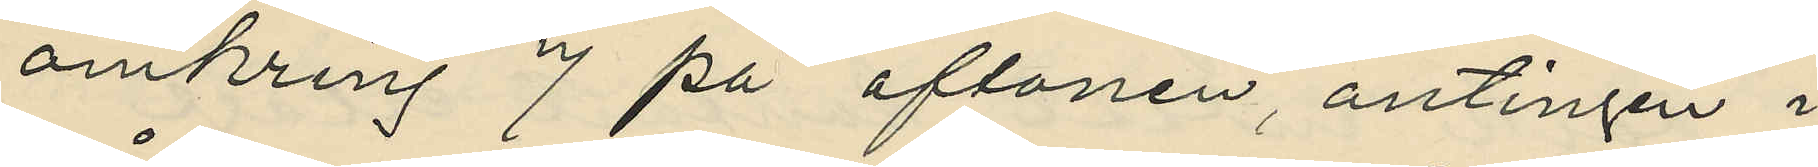omkring 7 på aftonen, antingen i
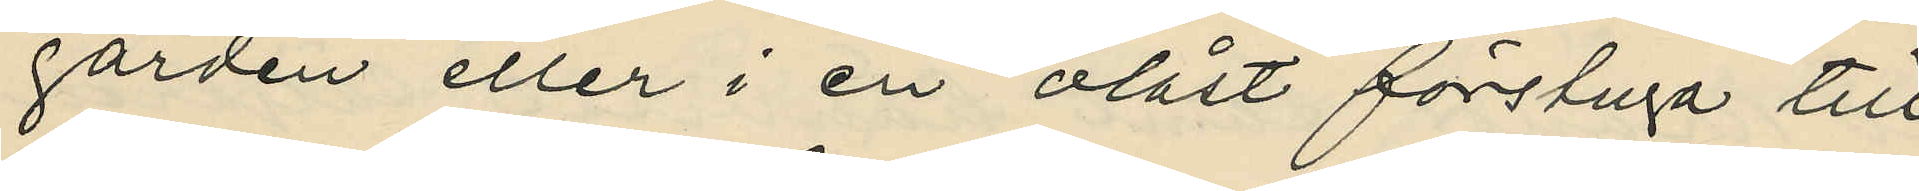gården eller i en olåst förstuga till
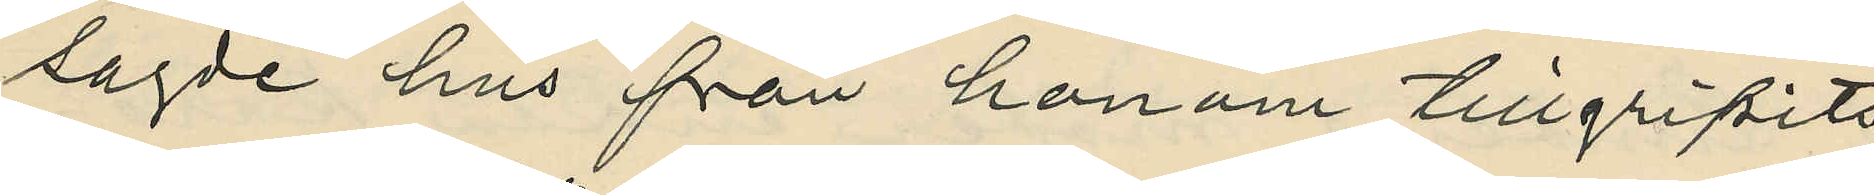sagde hus från honom tillgripits
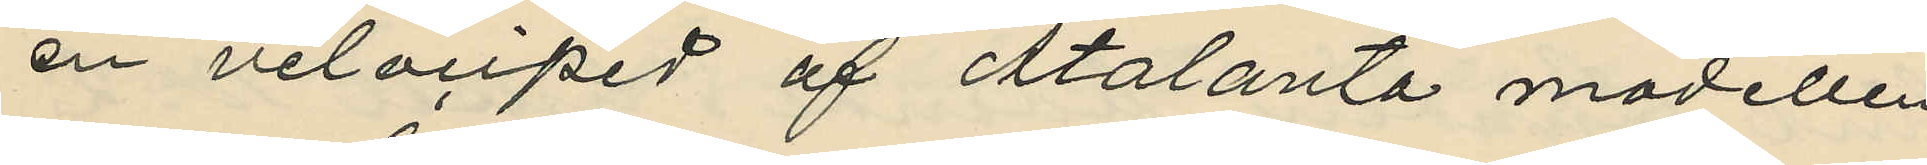en velociped af Atalanta modellen
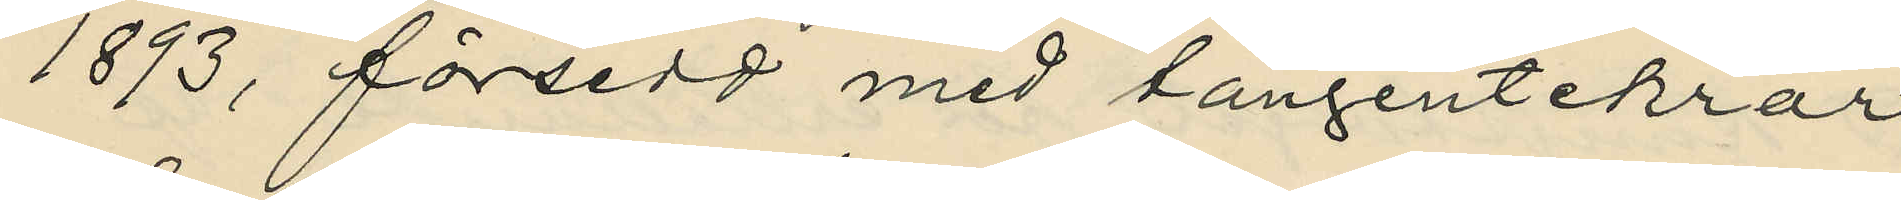1893, försedd med tangentekrar
